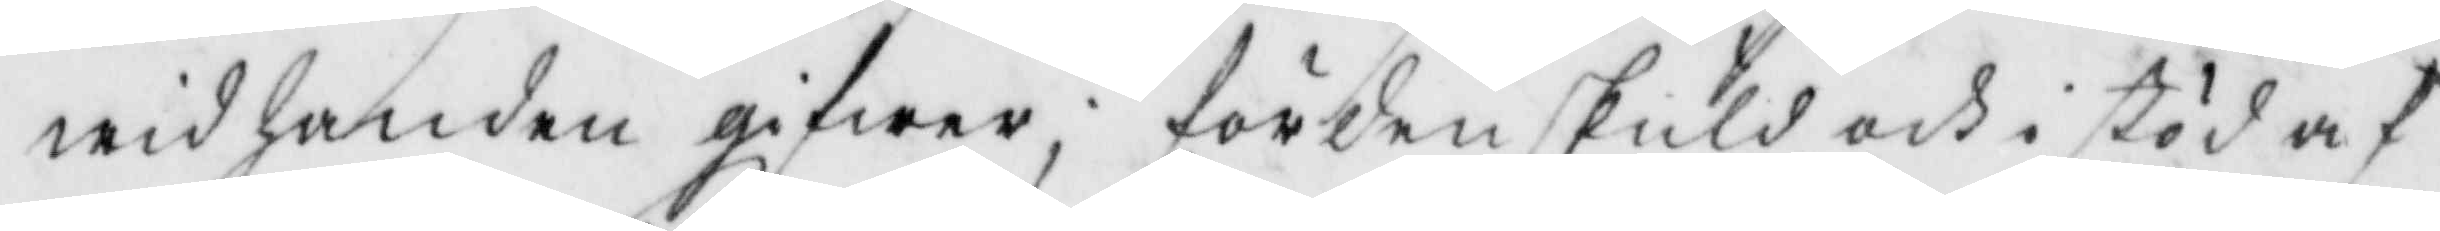wid handen gifwer; förden skuld och i stöd af
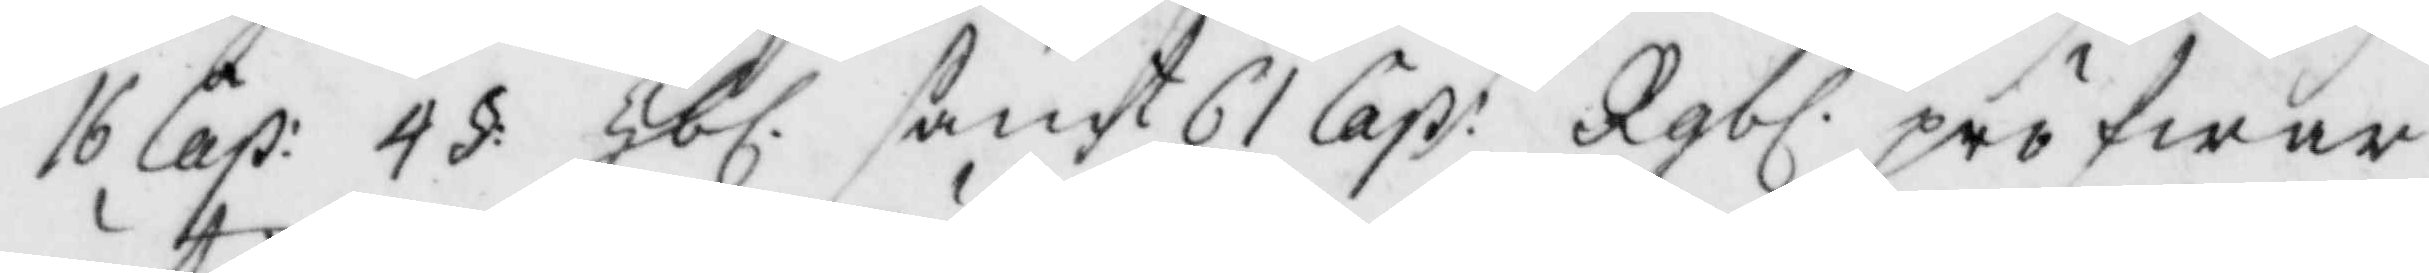16 Cap: 4§ Hbl. samt 61 Cap: Rgbl. pröfwar
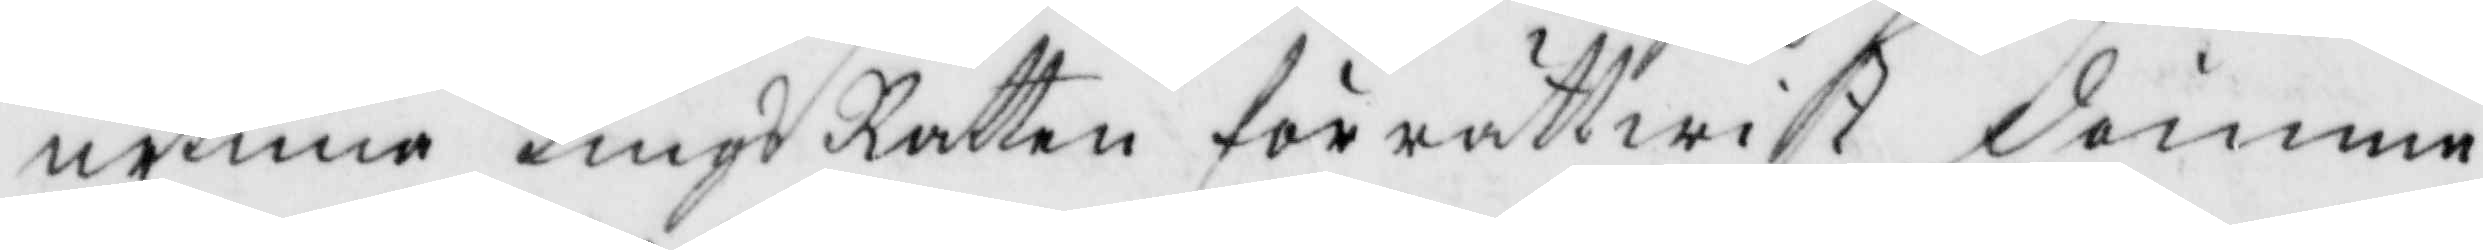urtima TingsRätten för rättwist dömma
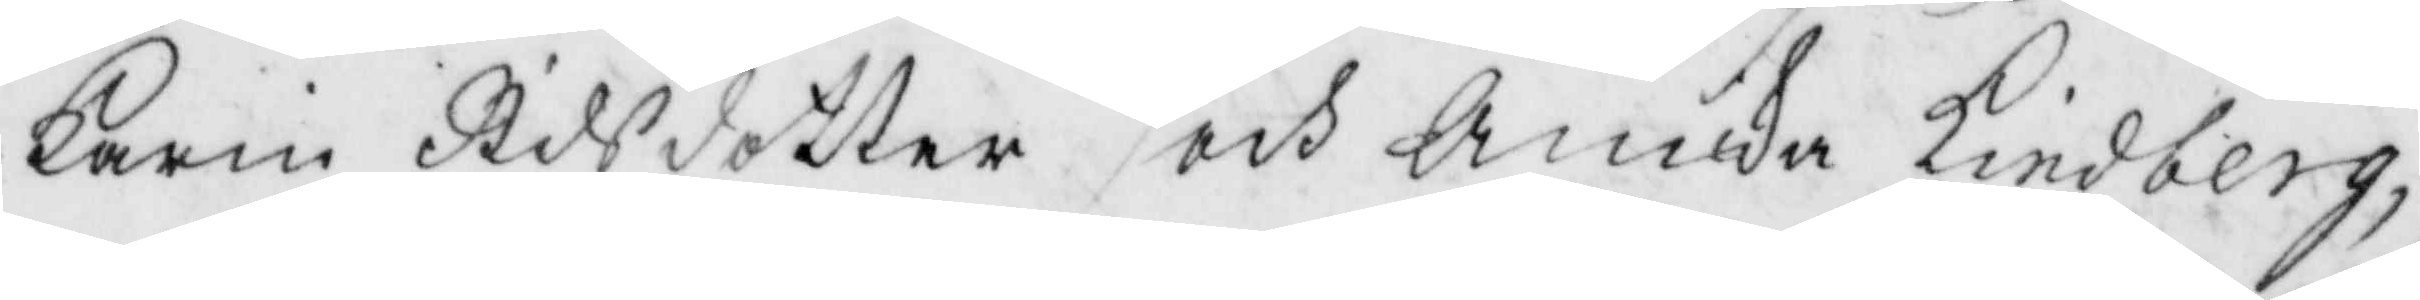Karin Nilsdotter och Annika kindberg,
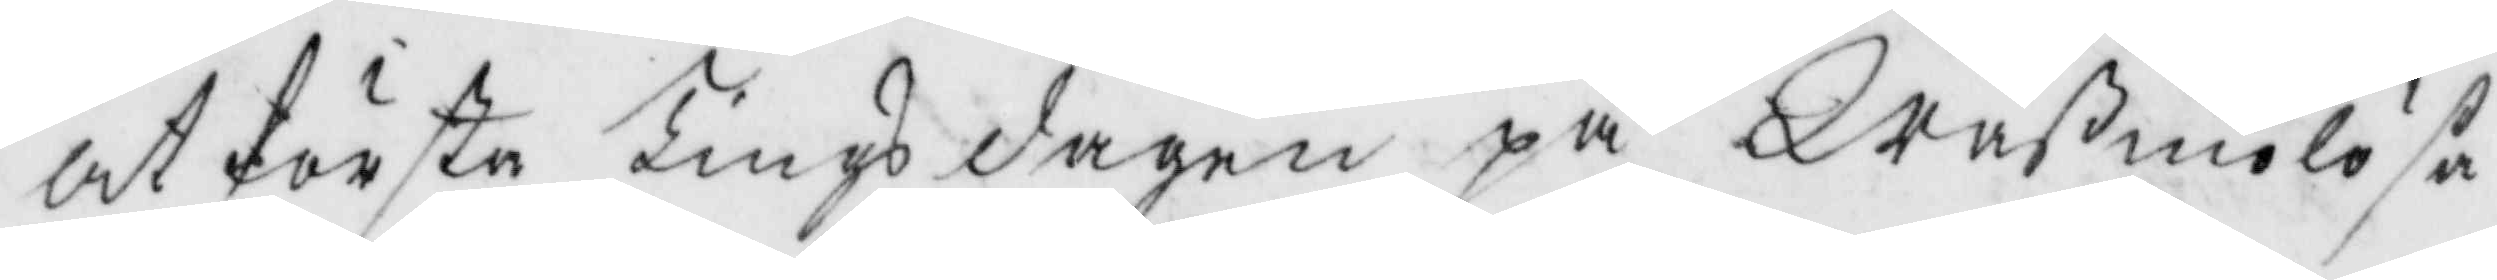at första Tingsdagen på Qraßmolösa
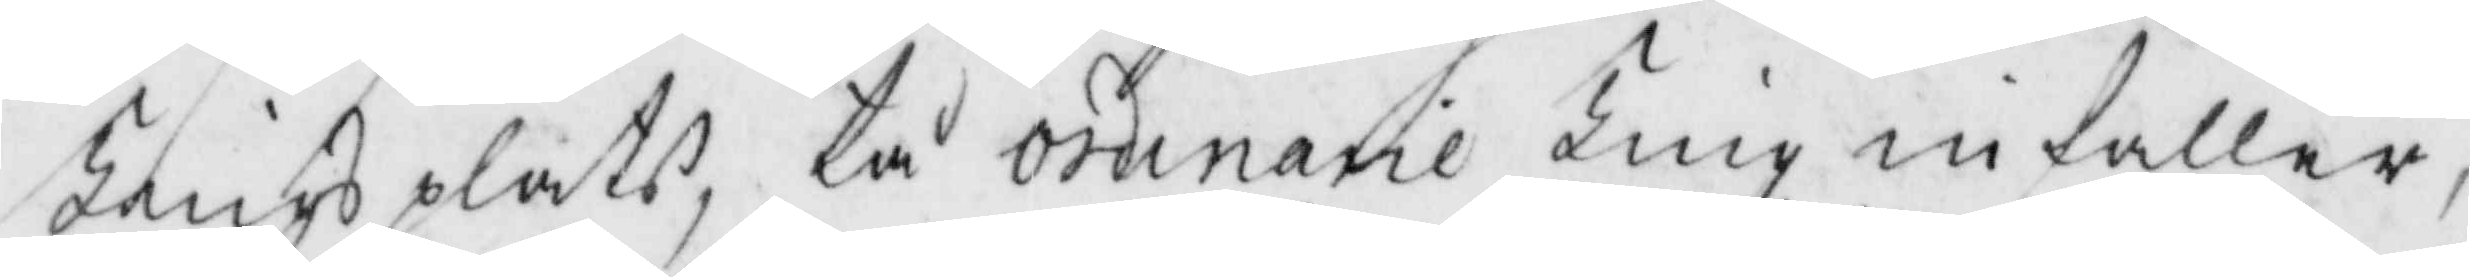Tingsplats, tå ordinarie Ting infaller,
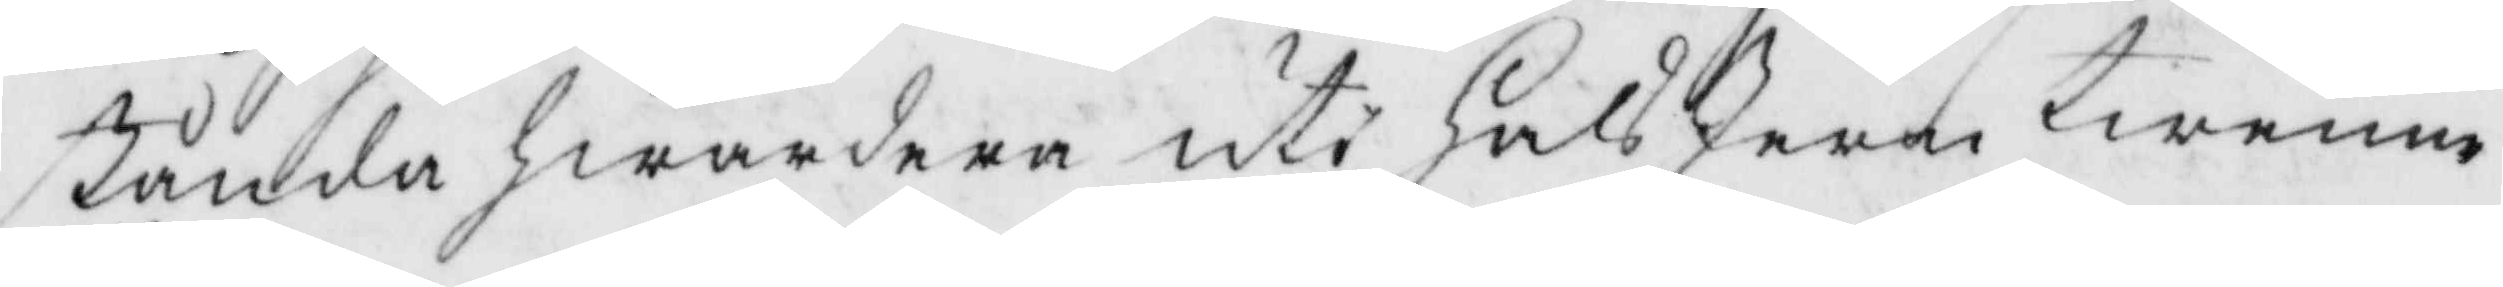stånda hwardera uti halsJern twenne
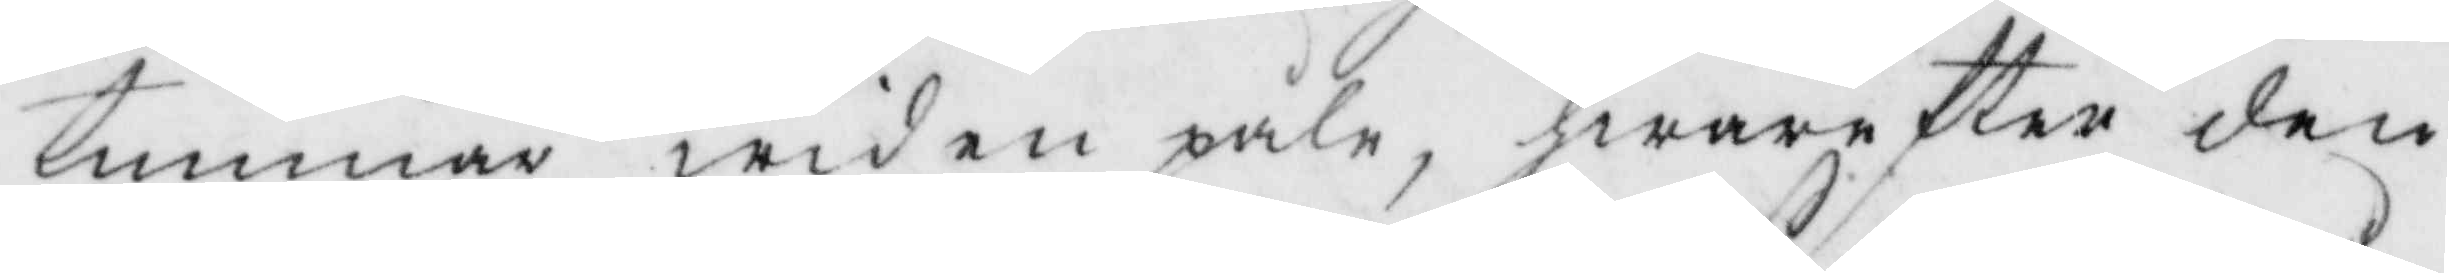timmar wid en påle, hwarefter den
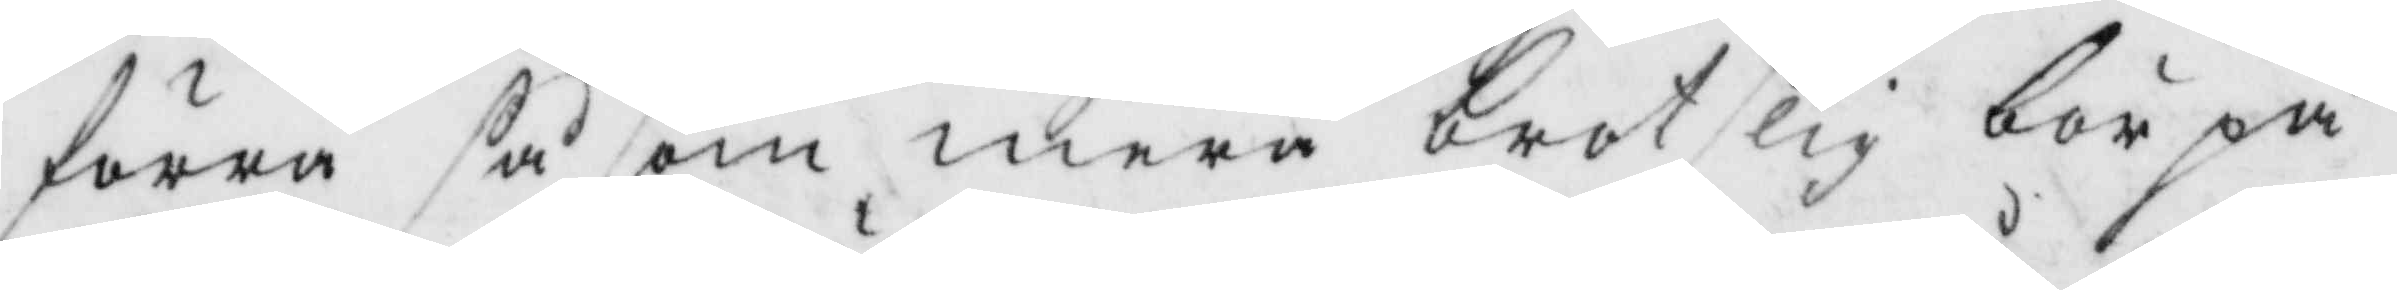förra såsom mera brotslig bör på
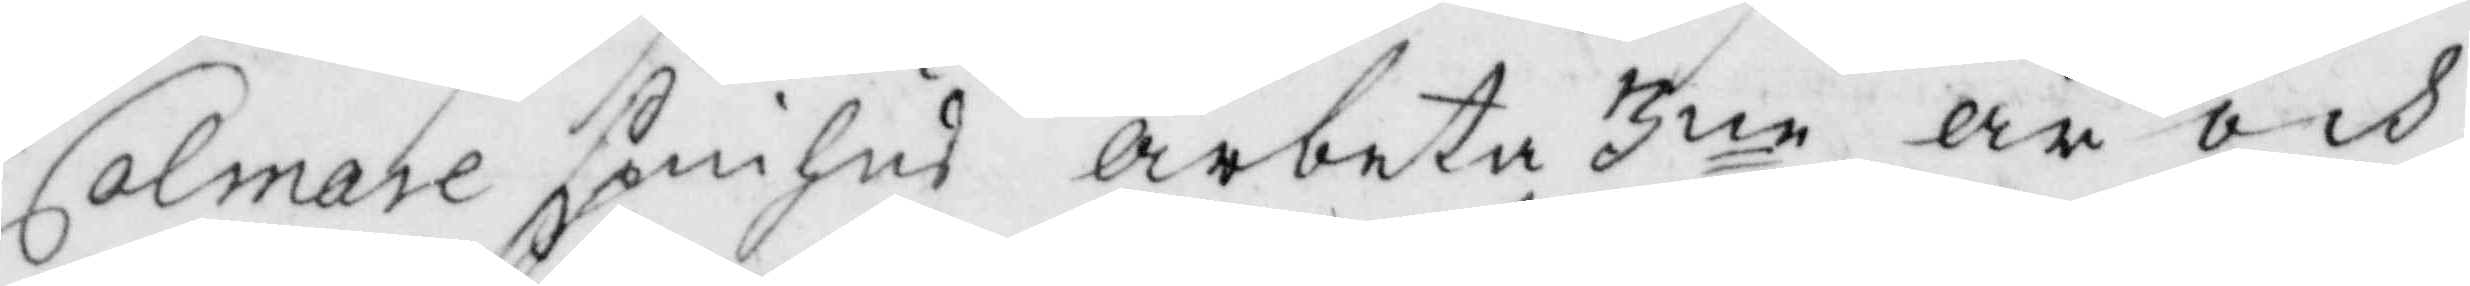Calmare spinhus arbeta 3ne år och 
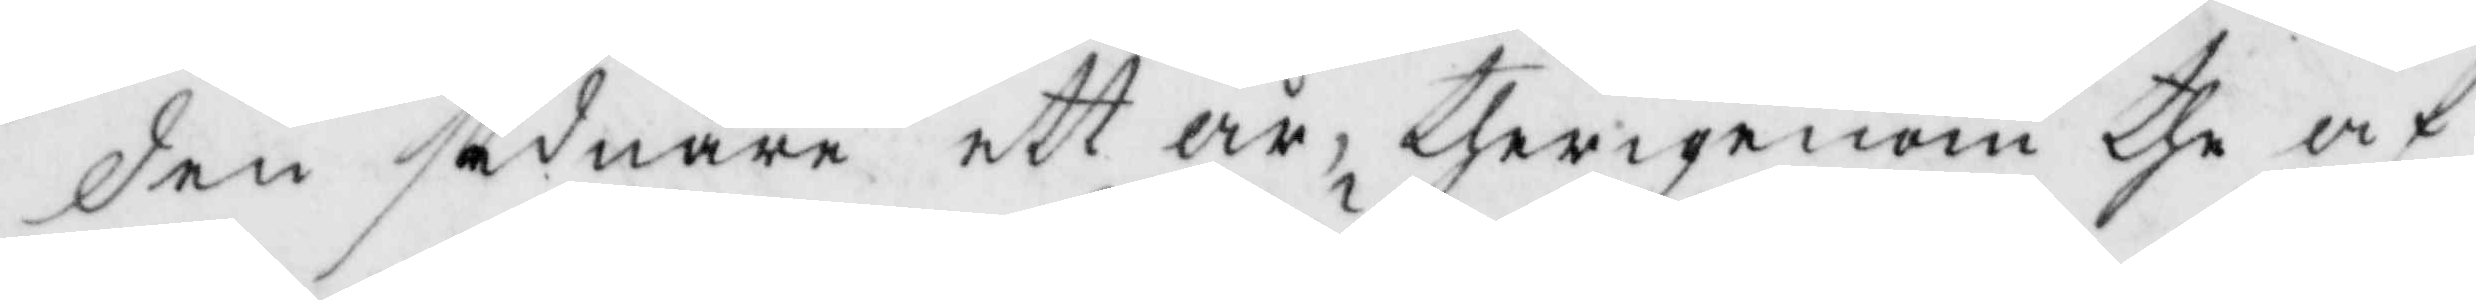den sednare ett år, therigenom the af
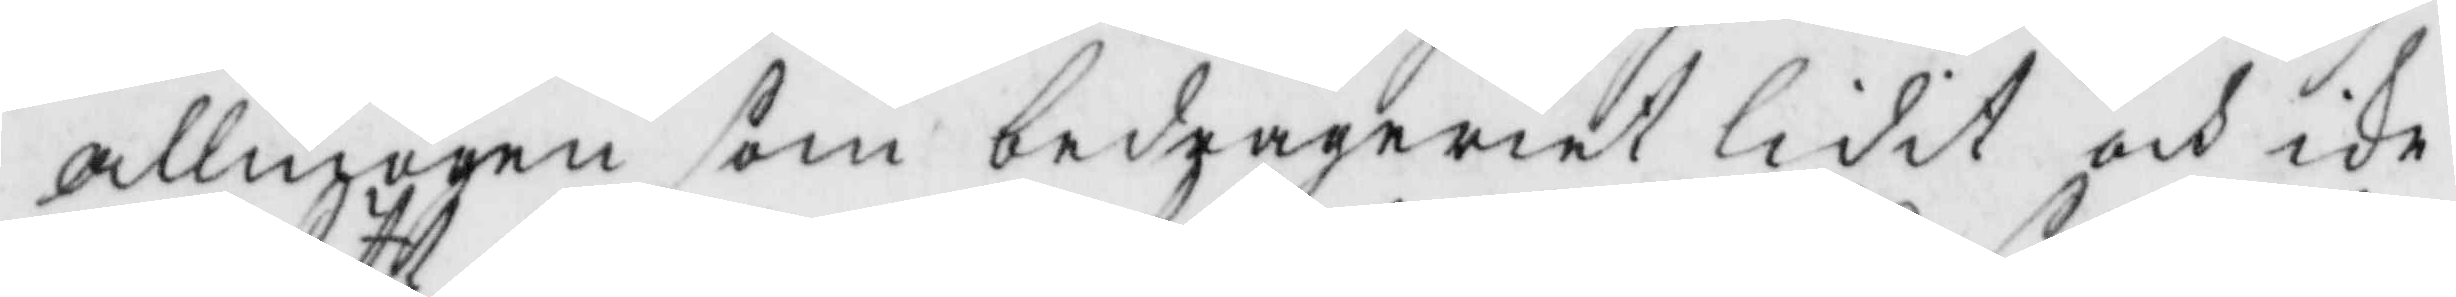allmogen som bedrägeriet lidit och ike
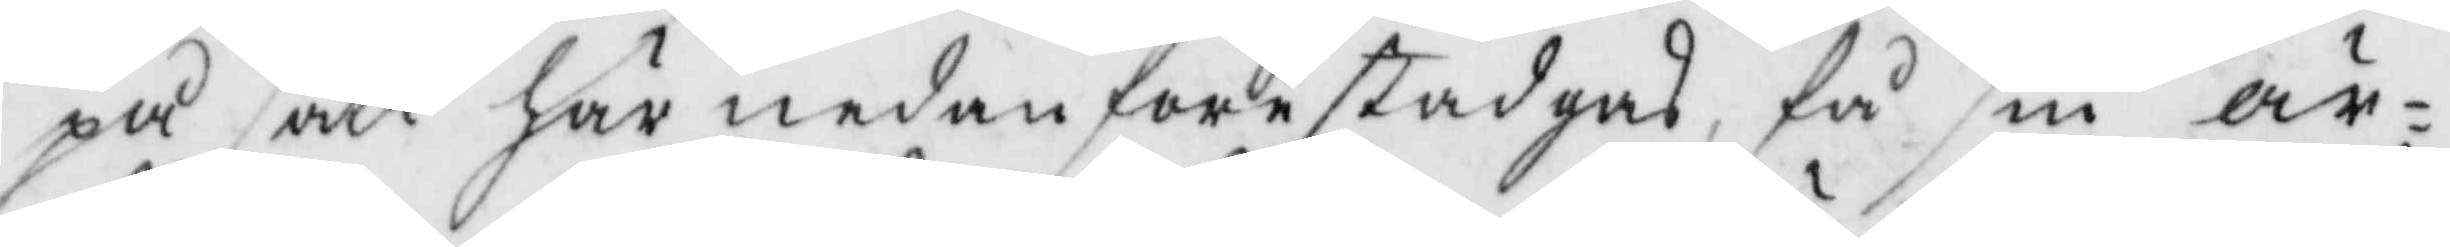på sätt här nedanföre stadgas, så sin är¬
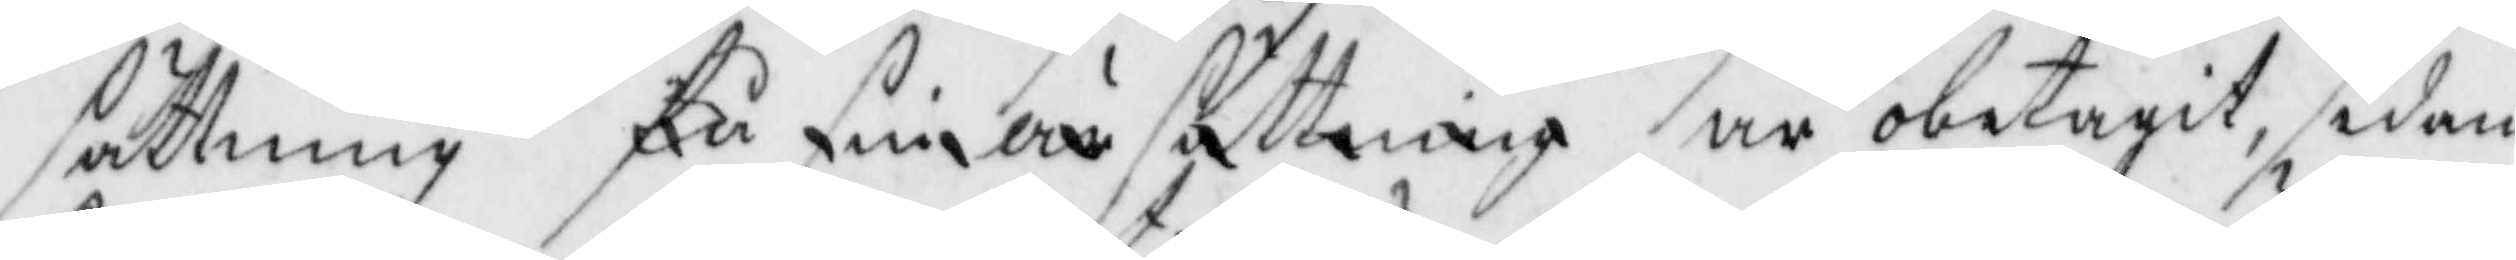sättning få sin ärsättning är obetagit, sedan
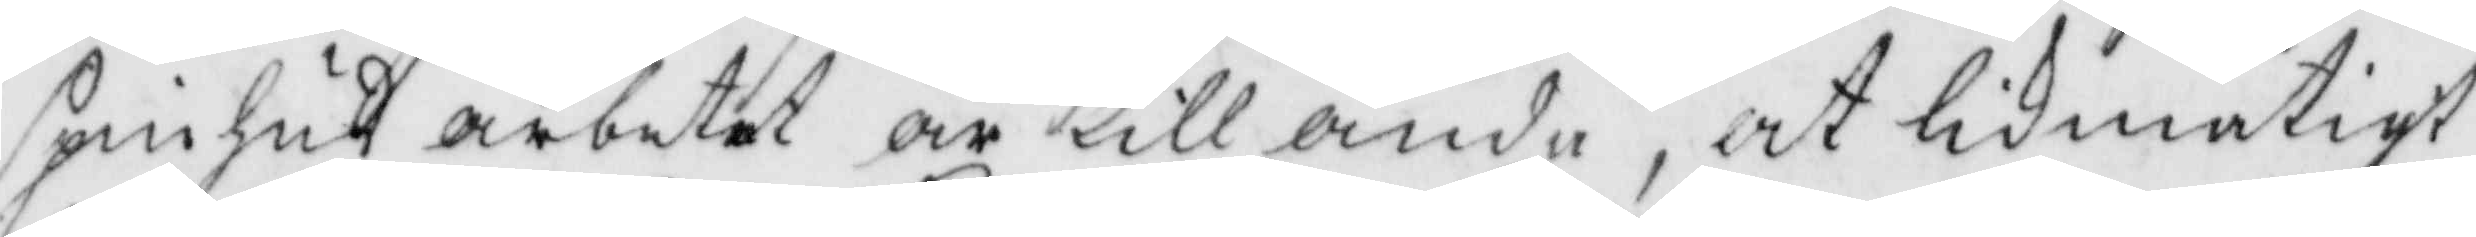spinhusarbetet är till ända, at likmätigt
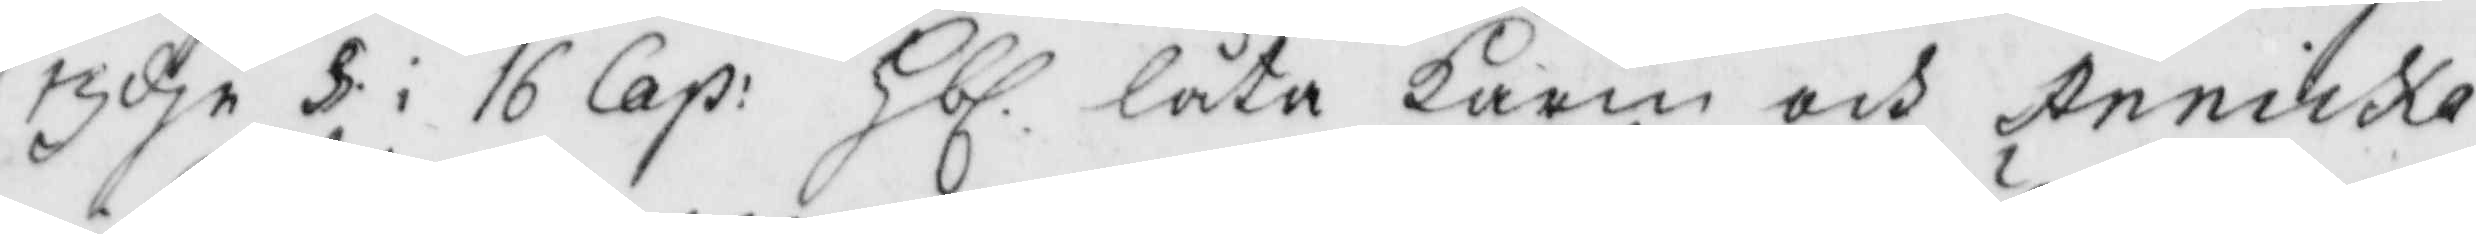3dje § i 16 Cap: Hbl. låta Karin och Annika
